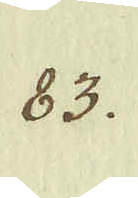83.
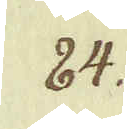84.
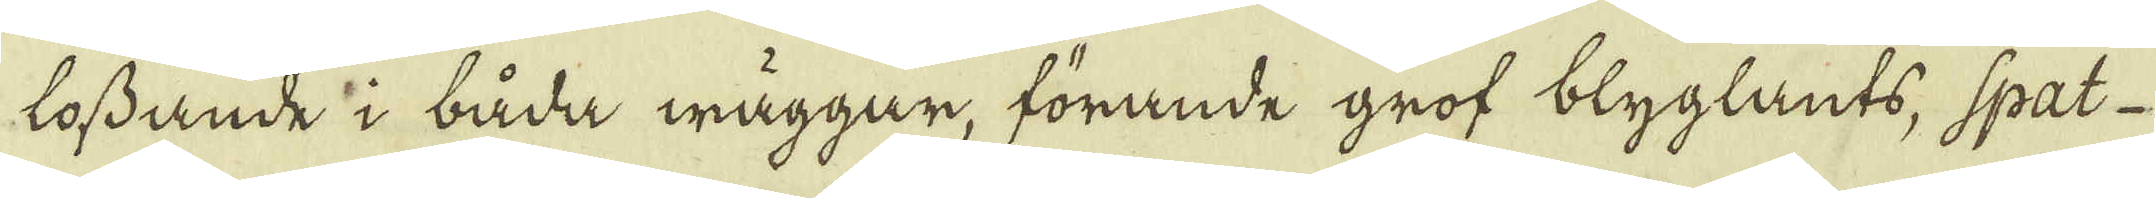lossdande i båda wäggar, förande grof blyglants, spat-
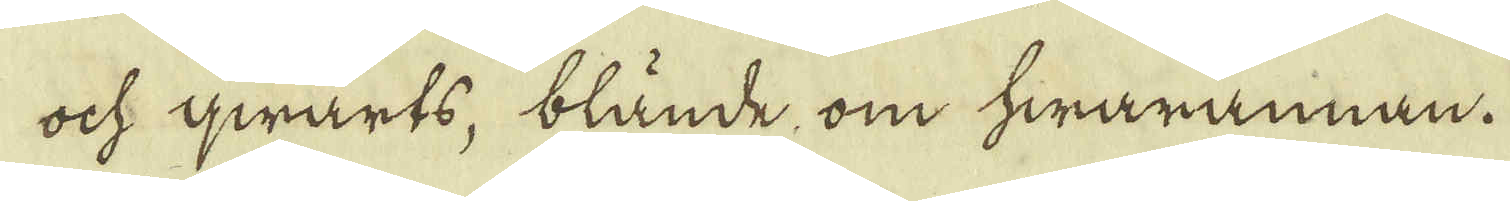och qwarts blände, om hwarannan.
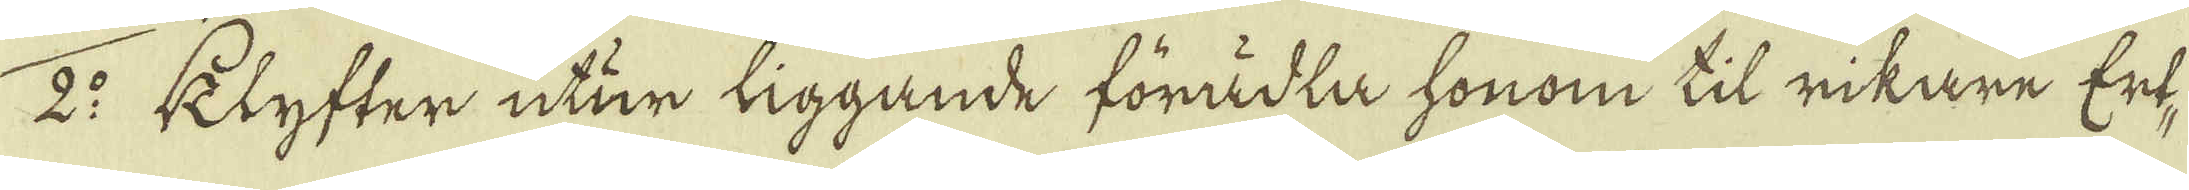2:o klyfter utur liggande förädla honom til rikare Ert-
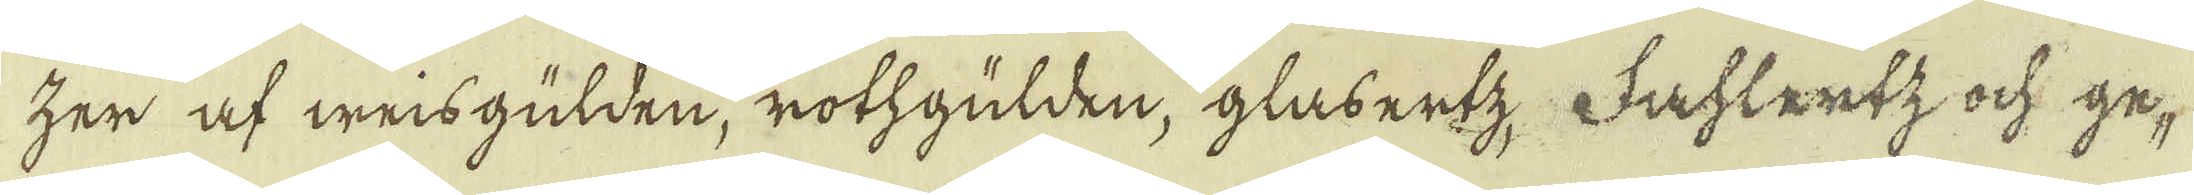zer af weisgülden, rothgulden, glåbertz. Fahlertz ock ge-
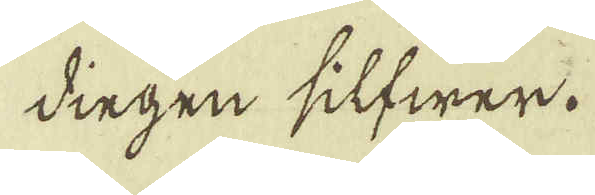dingen silfwer.
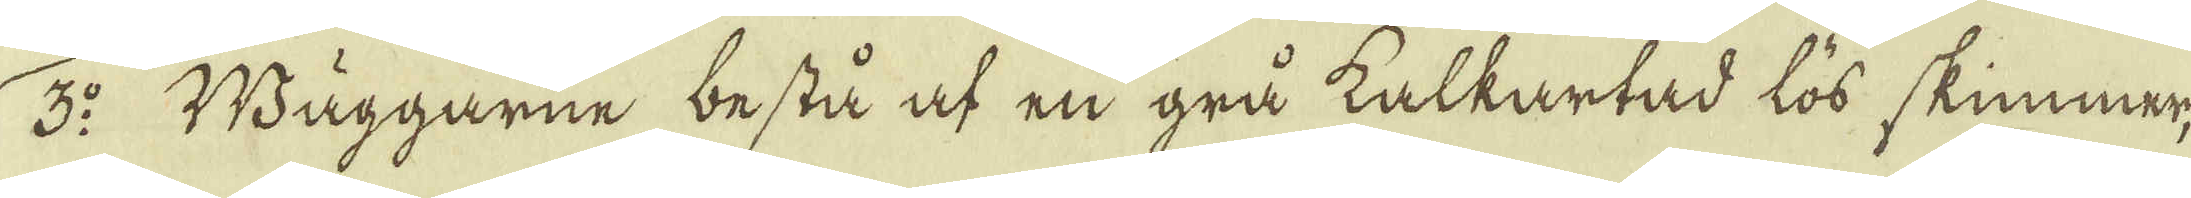3:o Wäggarne bestå af en grå kalkartad lös skiummar,
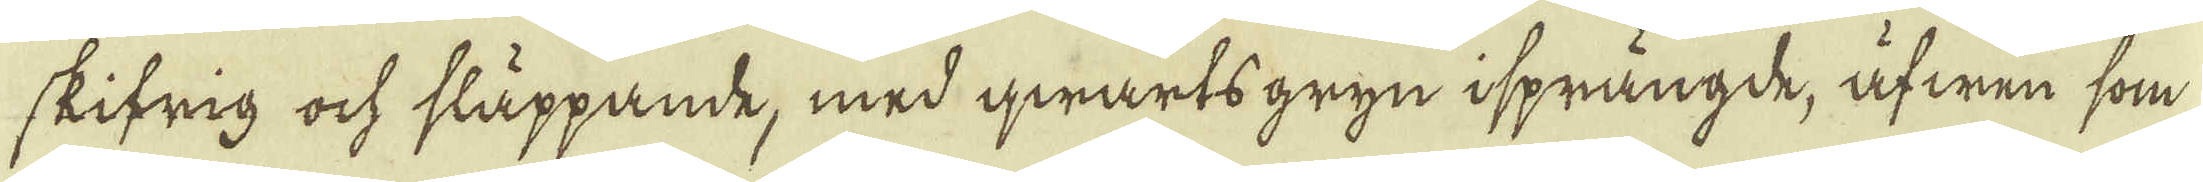skifrig ock släppande, med qwarts gryn isprängde, äfwen som
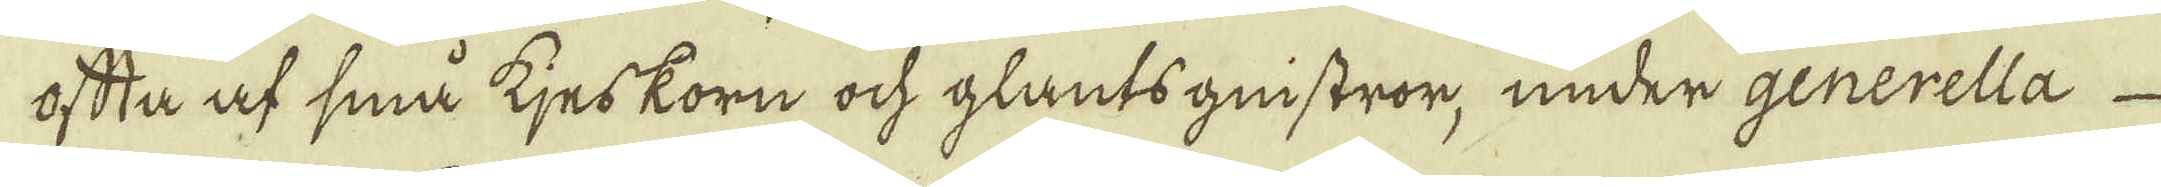oftta af sina tjes korn ock glantsgnistror, under generella
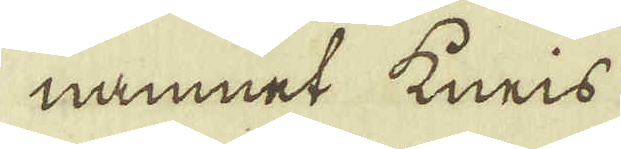namnet kneis
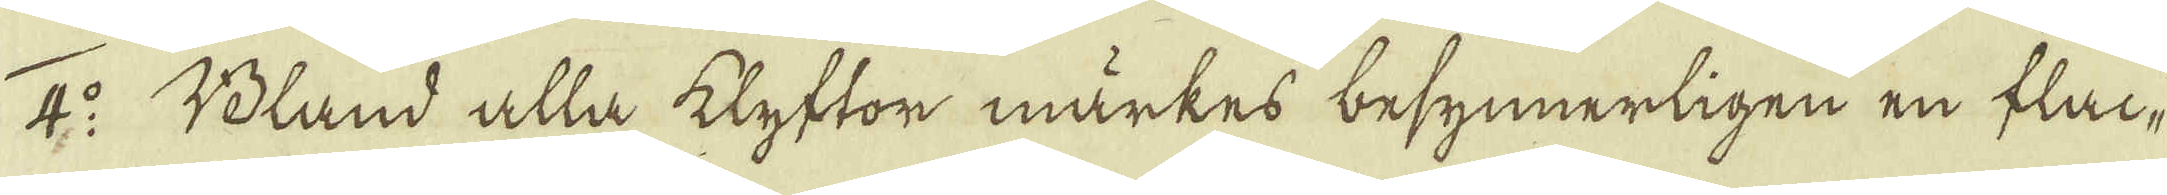4:o Bland alla klyftor märkes besynnerligen en flac-
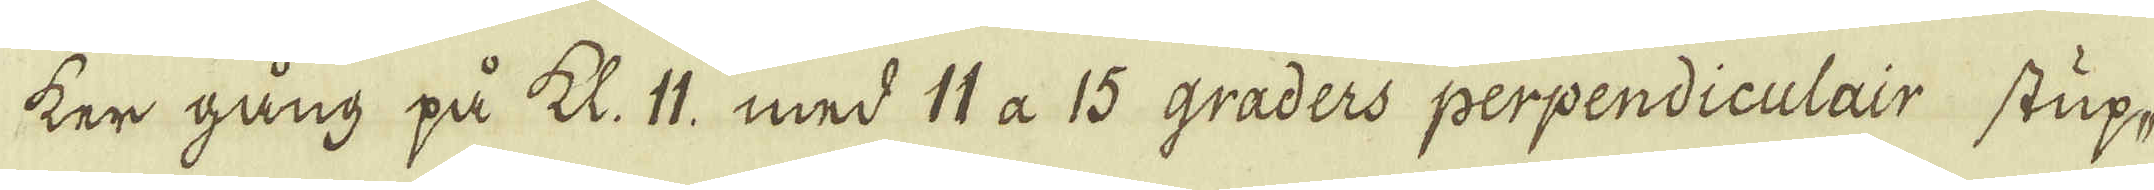ker gång på kl. 11, med 14 a 15 graders perpendiculair stup,
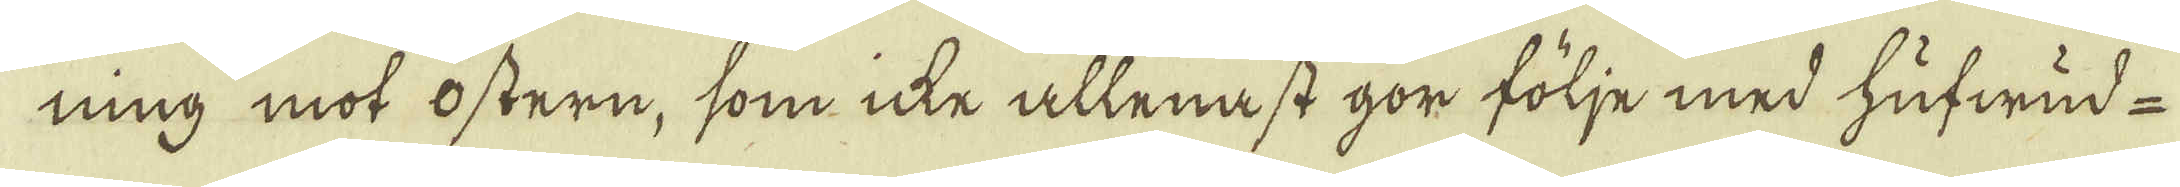ning mot östern, som icke allenast gör följe med hufwud-
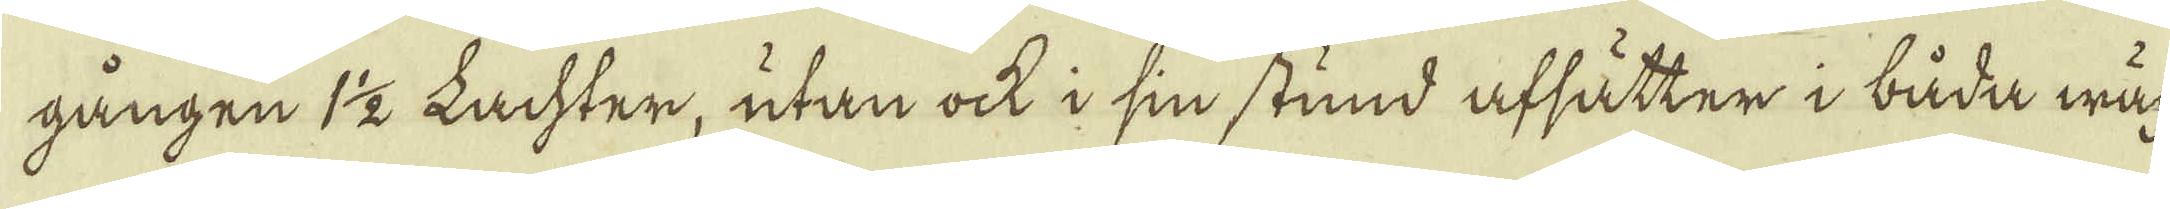gången 1 1/2 Lachter, utan ock i sin stund afsätter i båda wäg-
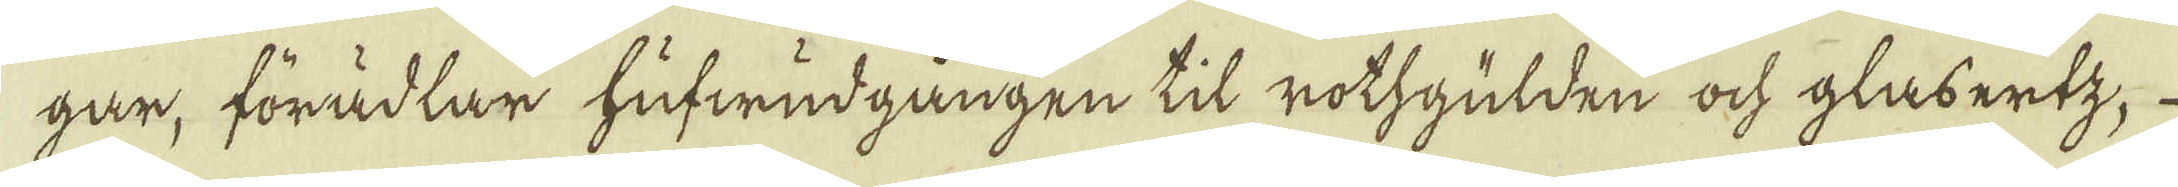gar, förädlar hufwudgången til rothgulden och glabertz,
